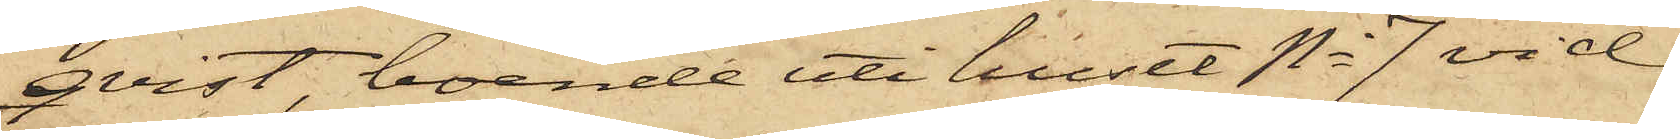qvist, boende uti huset No 7 vid
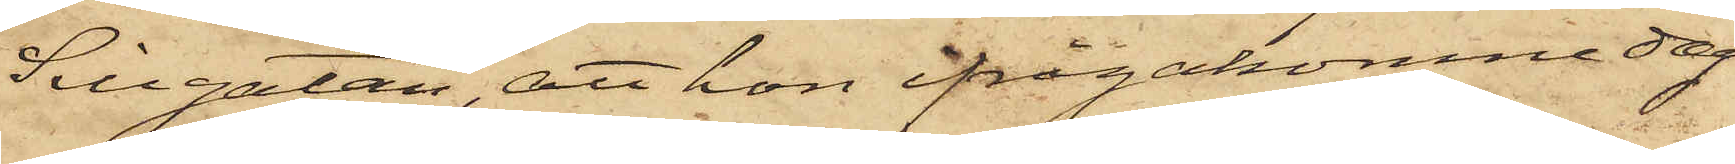Sillgatan, att hon ifrågakomne dag
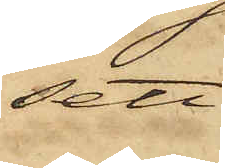sett
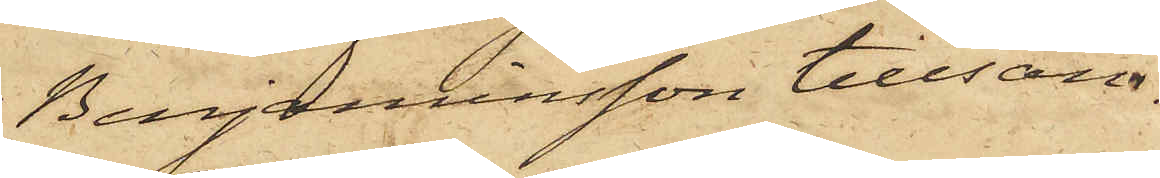Benjaminsson tillsam¬
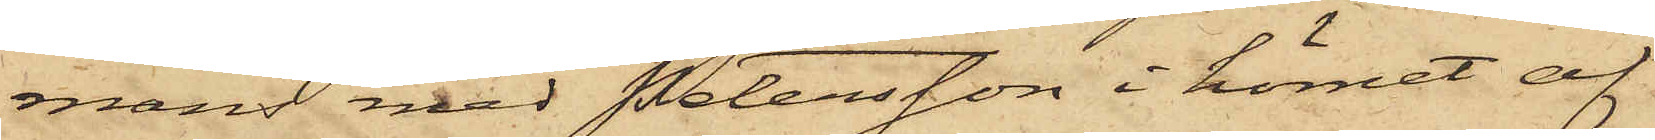mans med Petersson i hörnet af
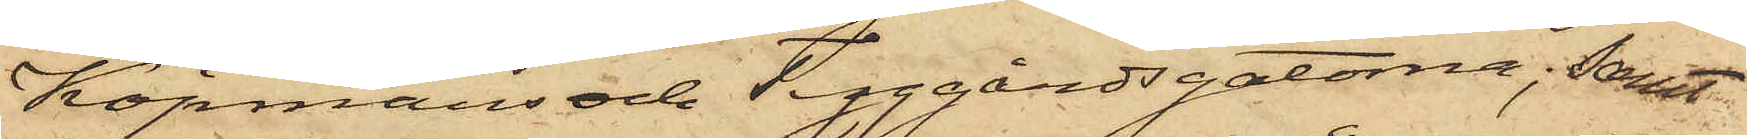Köpmans och Tyggårdsgatorna; samt
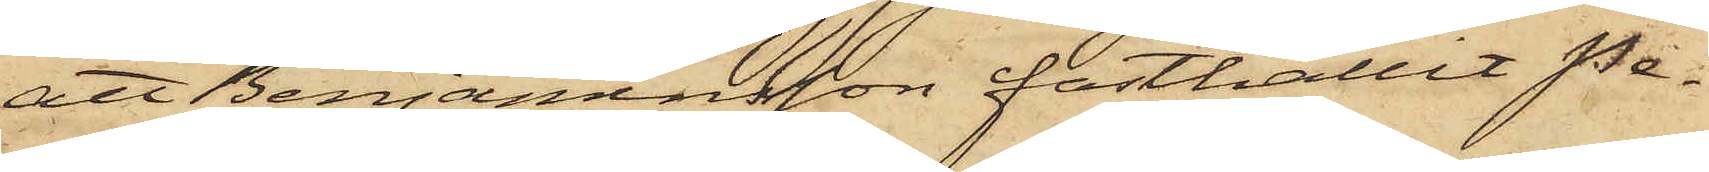att Benjaminsson fasthållit Pe¬
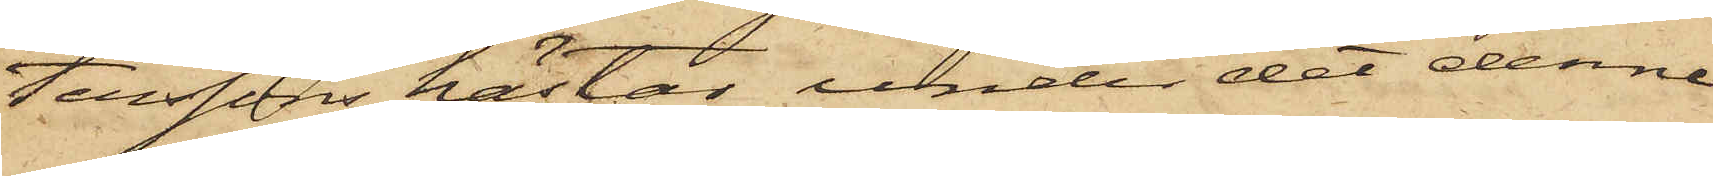terssons hästar, under det denne
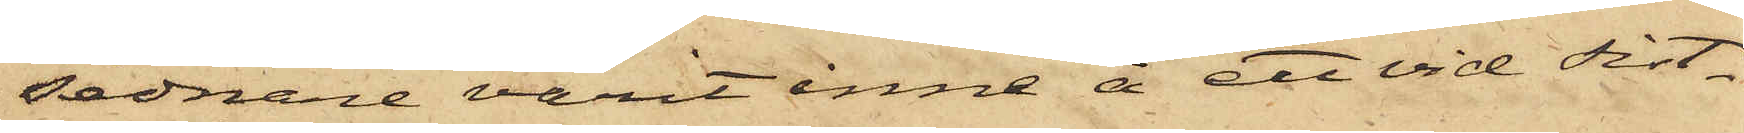sednare varit inne å ett vid sist¬
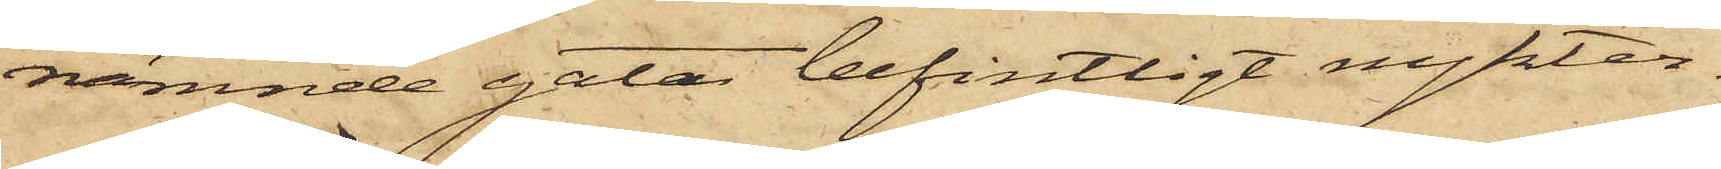nämnde gatan befintligt nykter¬
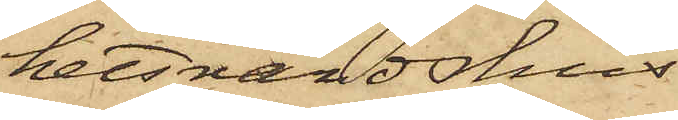hetsvärdshus
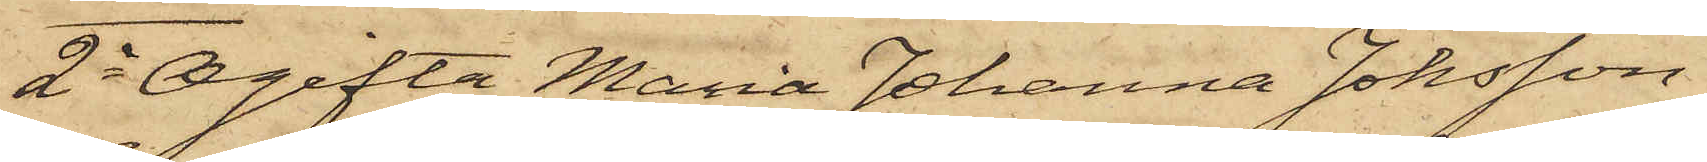2o Ogifta Maria Johanna Johsson
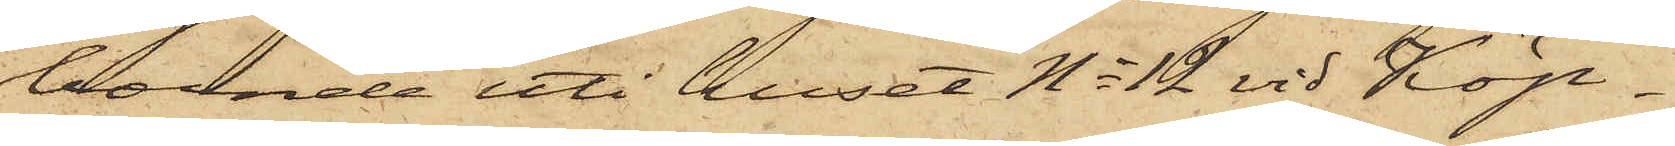boende uti huset No 12 vid Köp¬
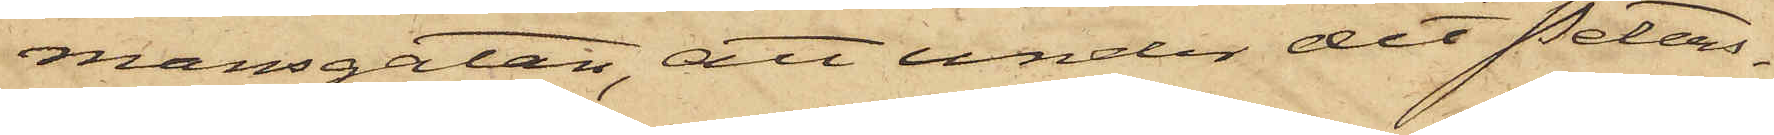mansgatan, att under det Peters¬
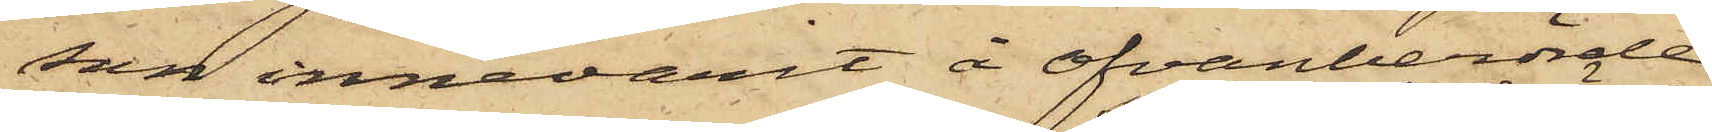son innevarit å ofvanberörde
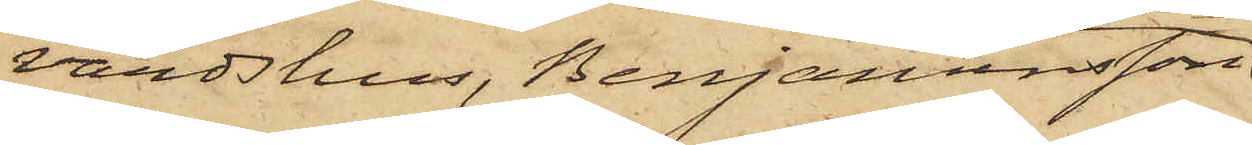värdshus, Benjaminsson
